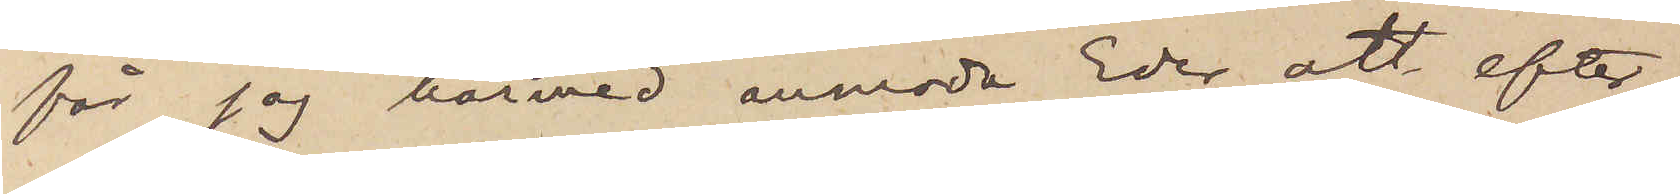får jag härmed anmoda Eder att efter¬
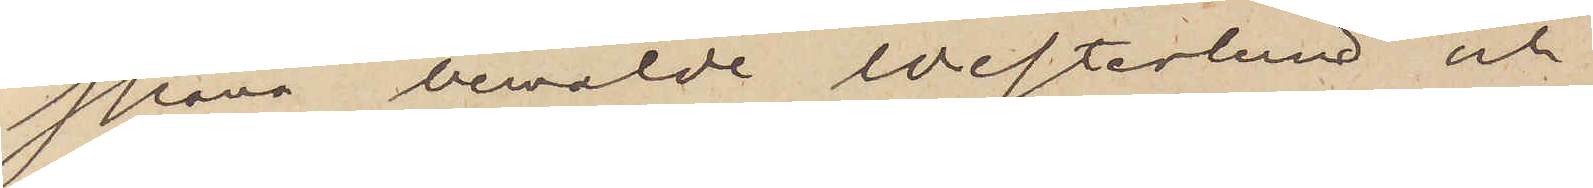spana bemälde Westerlund och,
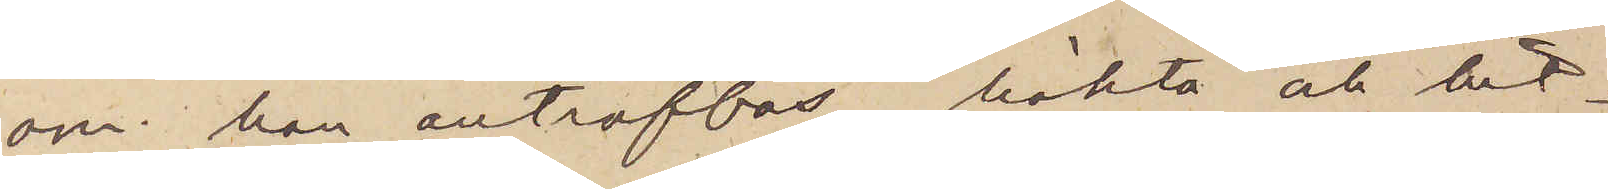om han anträffas, häkta och hit¬
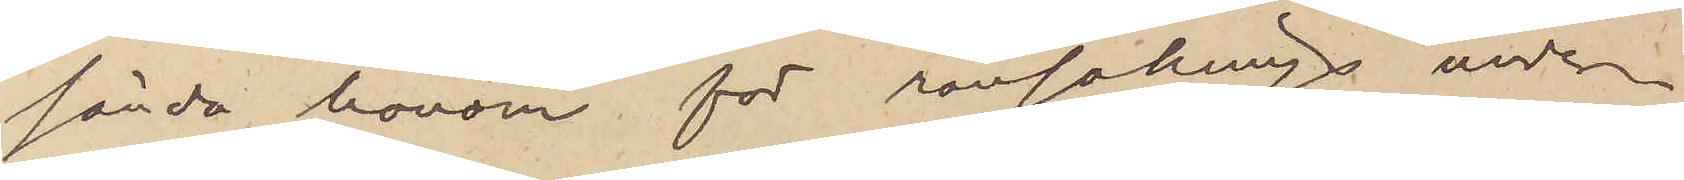sända honom för ransakings under¬
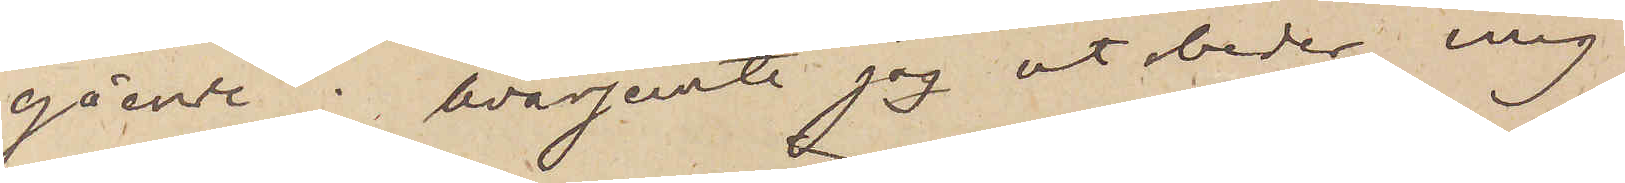gående;  hvarjemte jag utbeder mig
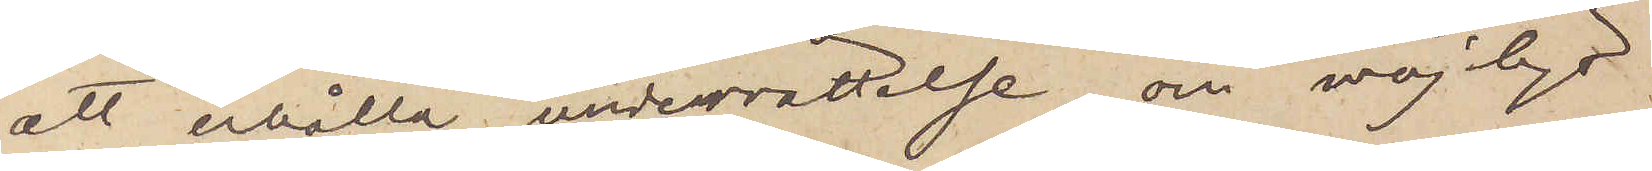att erhålla underrättelse om möjligt
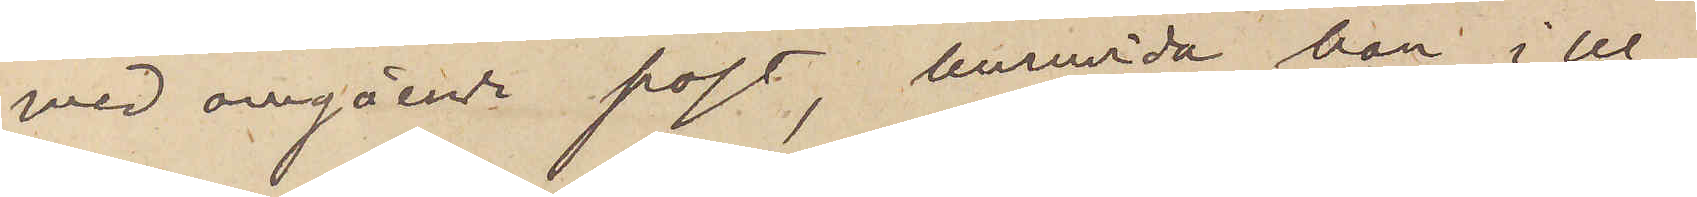med avgående post, huruvida han i Ul¬
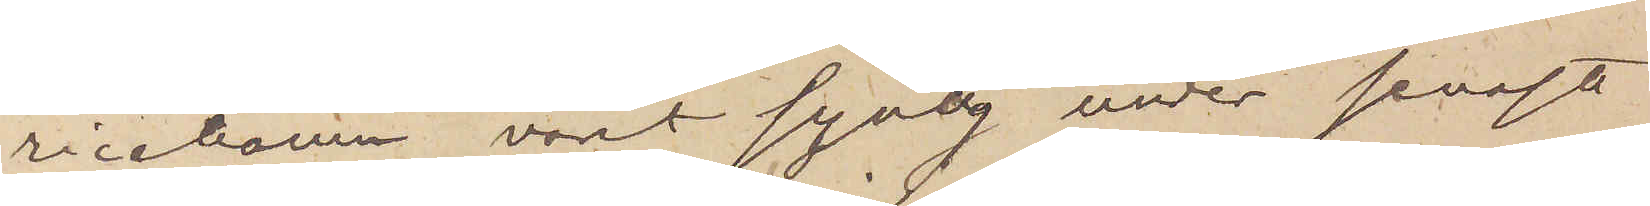ricehamn vart synlig under senaste
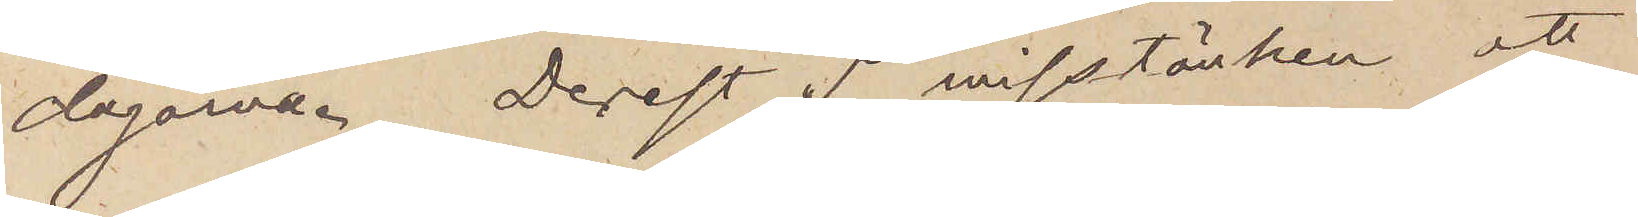dagarna. Derest I misstänken att
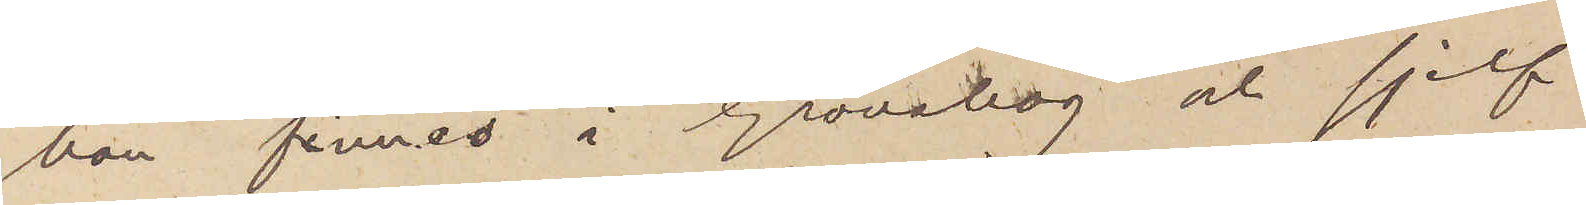han finnes i Grönahög och sjelf
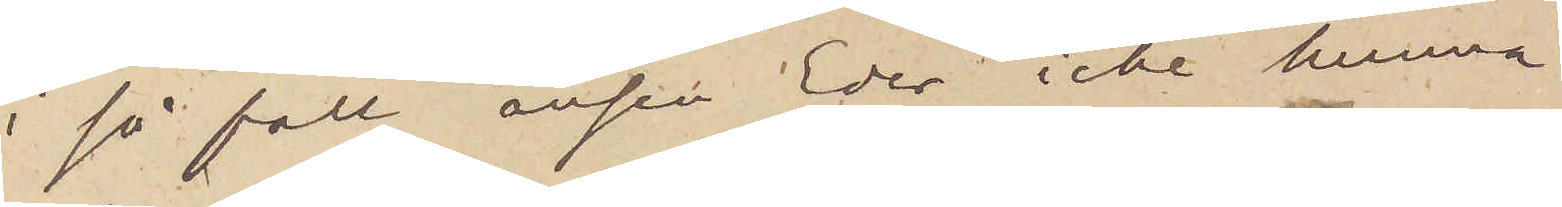i så fall anser Eder icke kunna
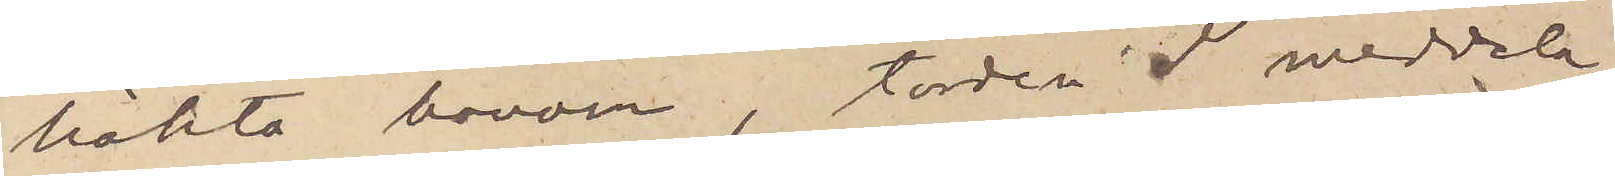häkta honom, torden I meddela
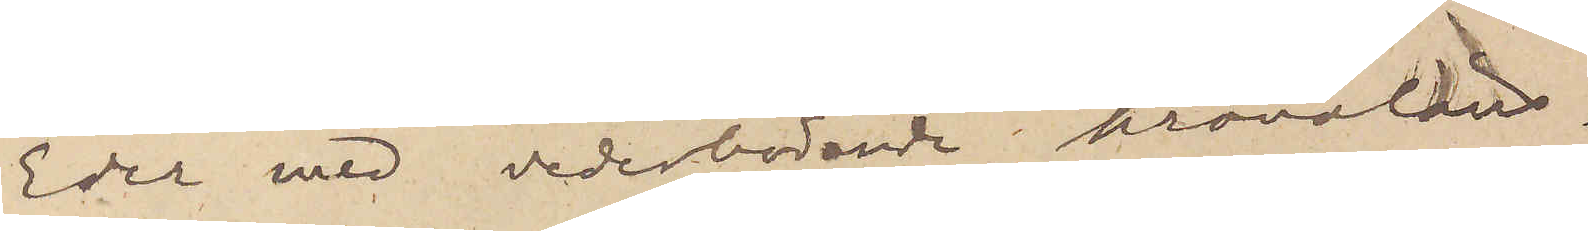Eder med vederbörande kronoläns¬
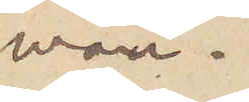man.
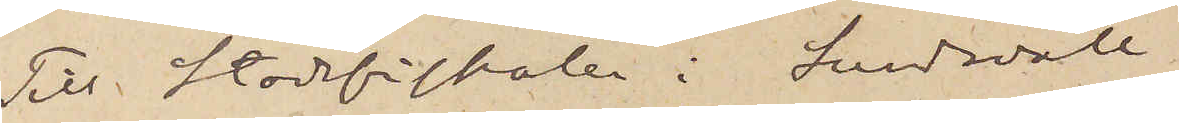Till Stadsfiskalen i Sundsvall
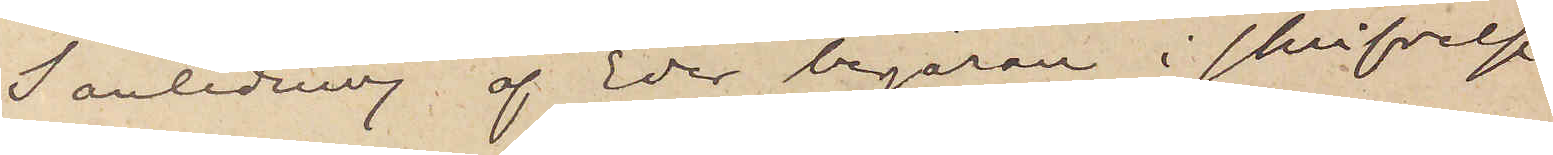I anledning af Eder begäran i skrifvelse
